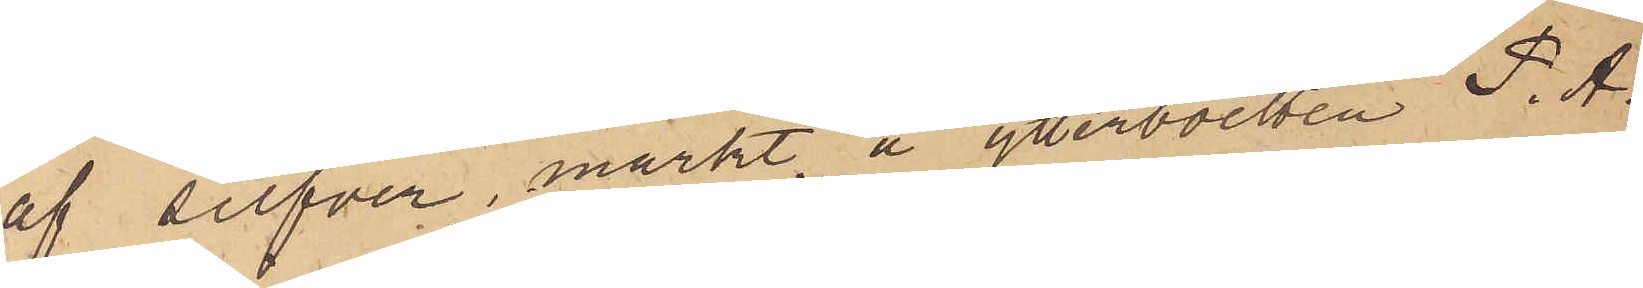af silfver, märkt å ytterboetten P. A.
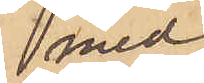med
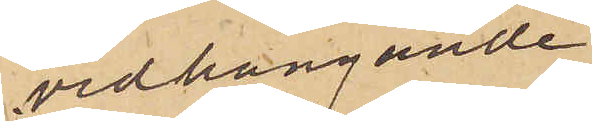vidhängande
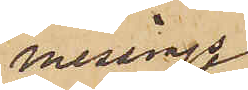messings¬
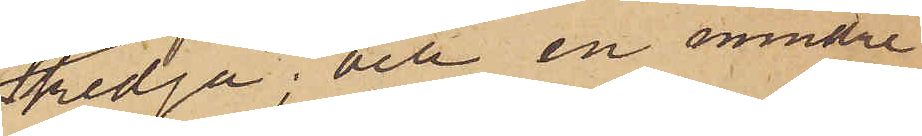kedja; och en mindre
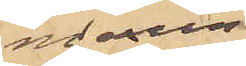marin¬
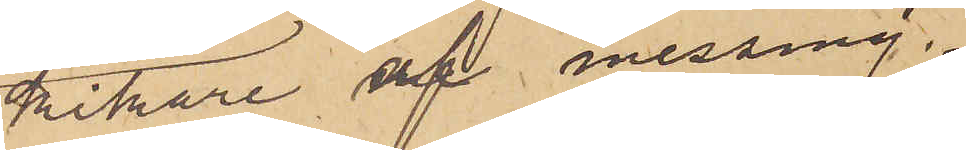kikare af messing.
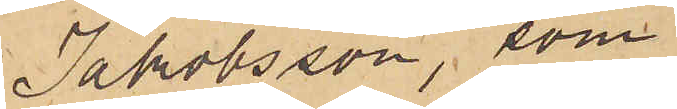Jakobsson, som
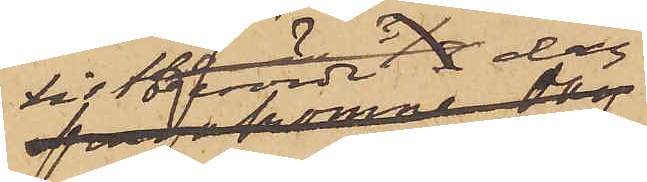tis- berörde dag
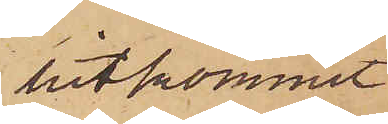hitkommit
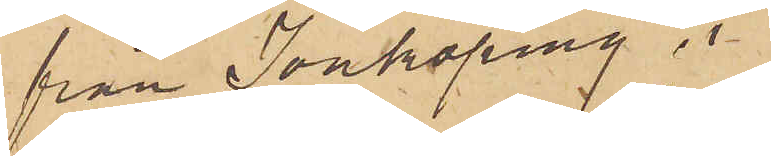från Jönköping i
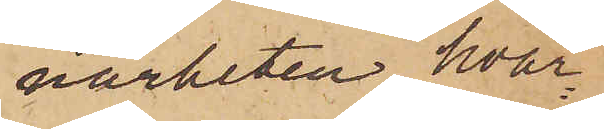närheten hvar¬
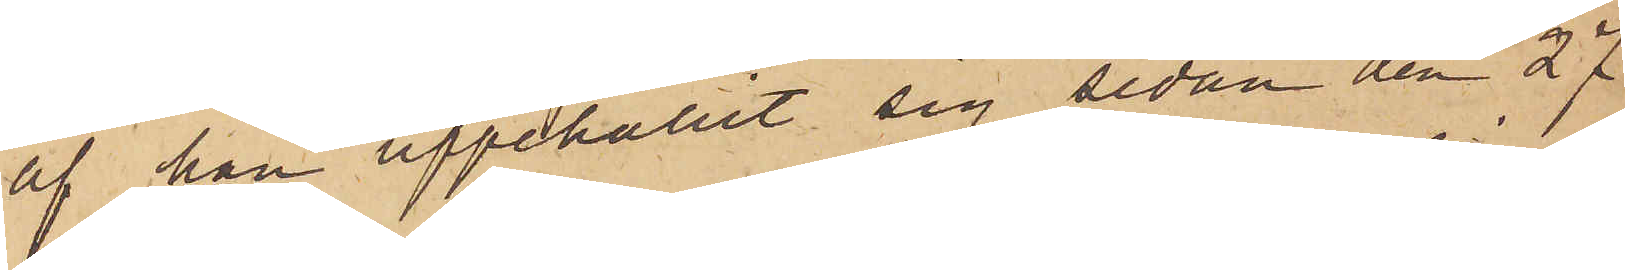af han uppehållit sig sedan den 27
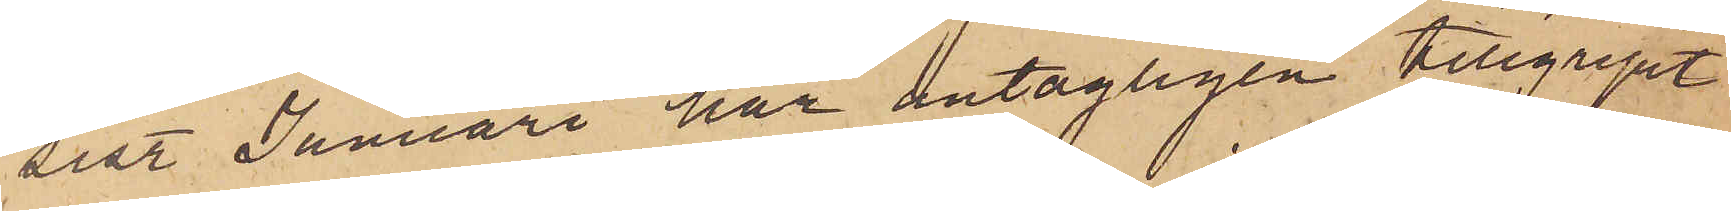sist. Januari har antagligen tillgripit
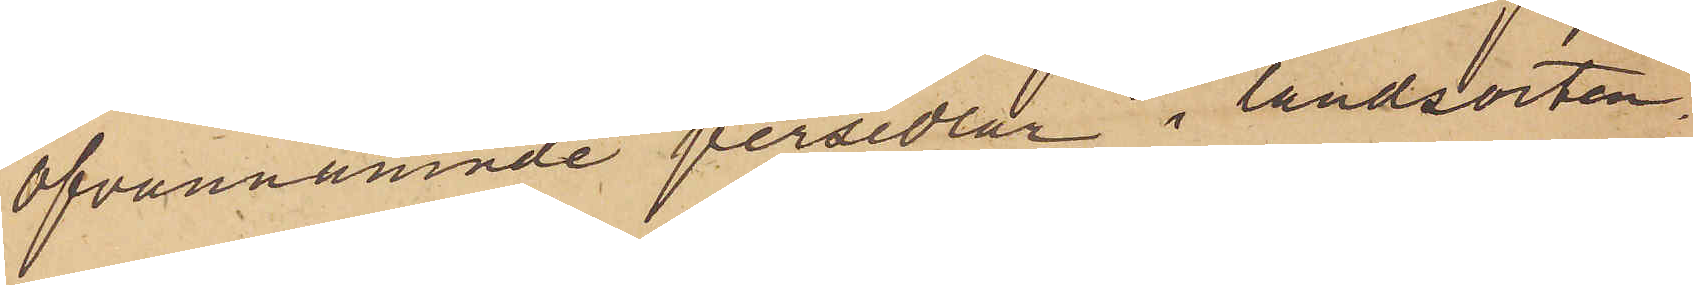ofvannämnde persedlar i landsorten.
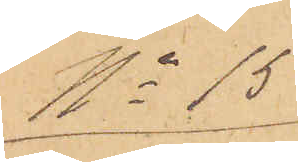No 15
